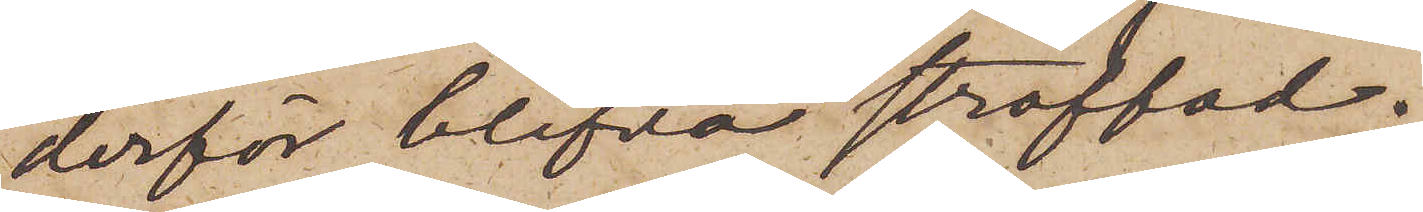derför blifva straffad.
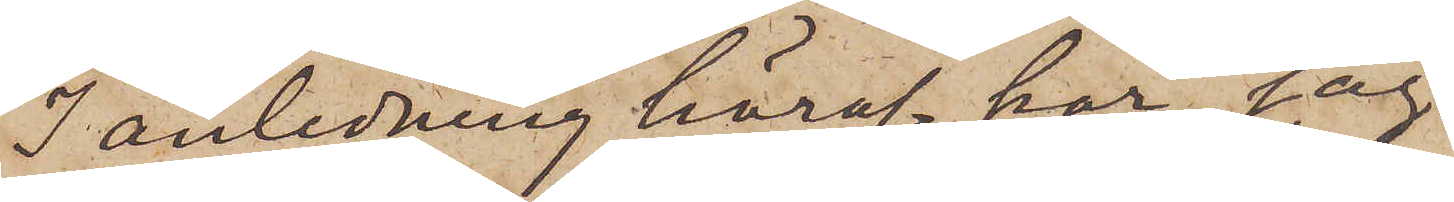I anledning häraf har jag
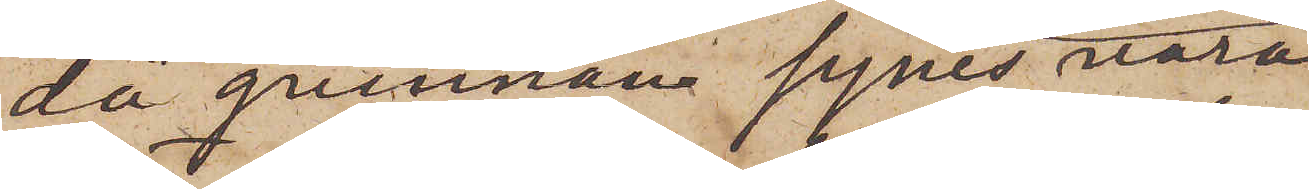då quinnan synes vara
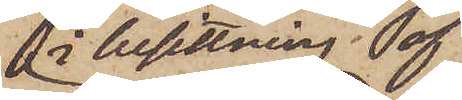i besittning af
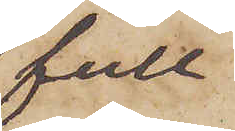full¬
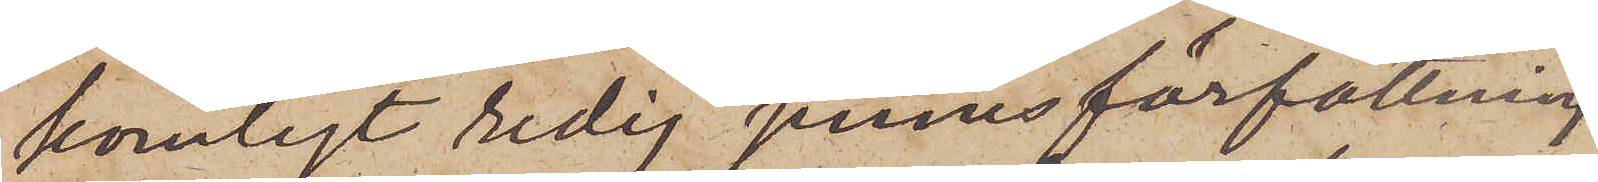komligt redig sinnesförfattning
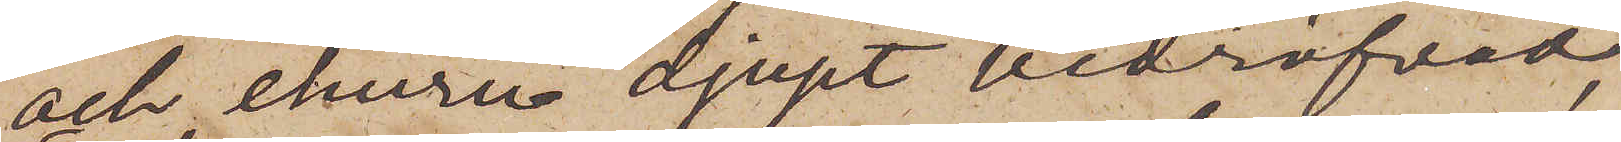och, ehuru djupt bedröfvad,
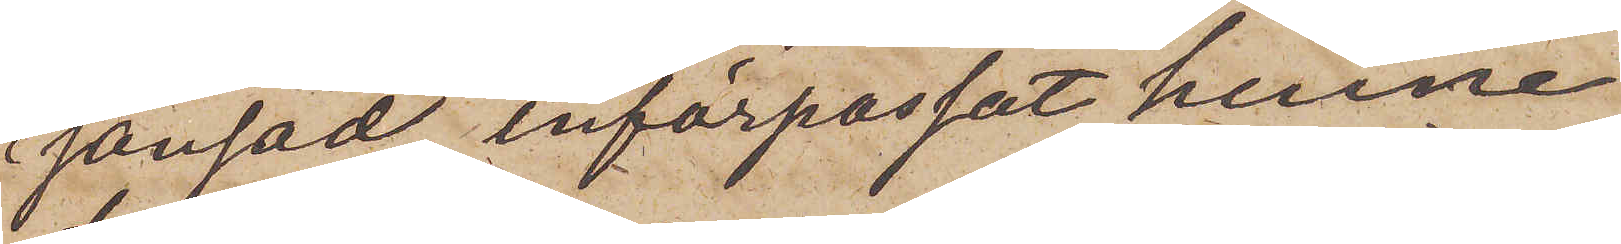sansad, införpassat henne
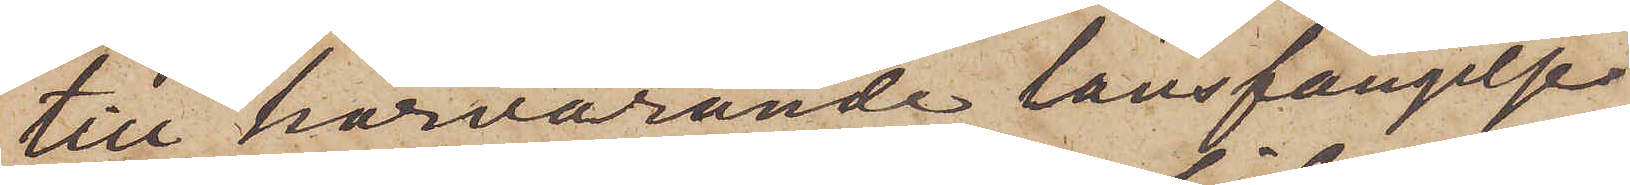till härvarande länsfängelse
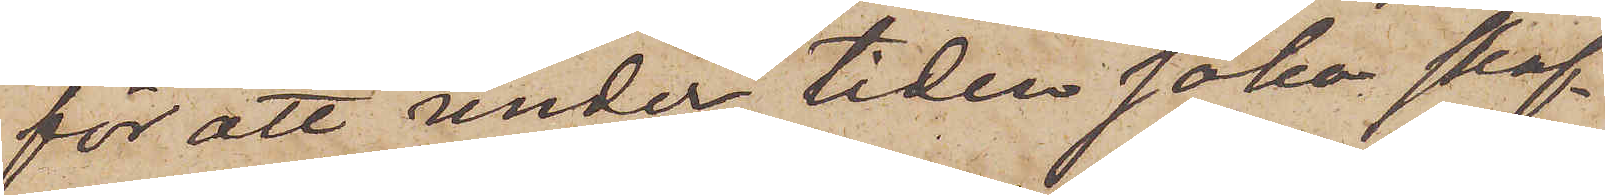för att under tiden söka skaf¬
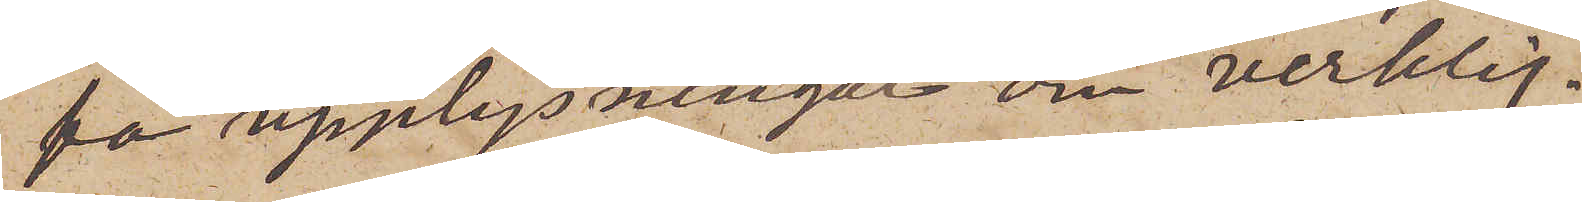fa upplysningar om verklig¬
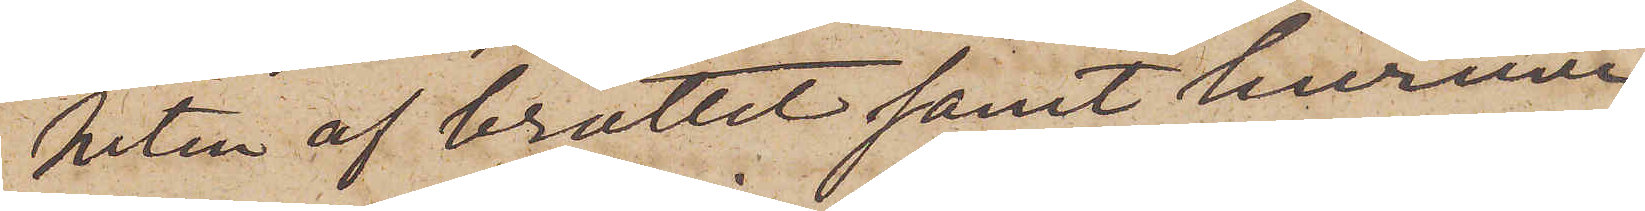heten af brottet samt huruvi¬
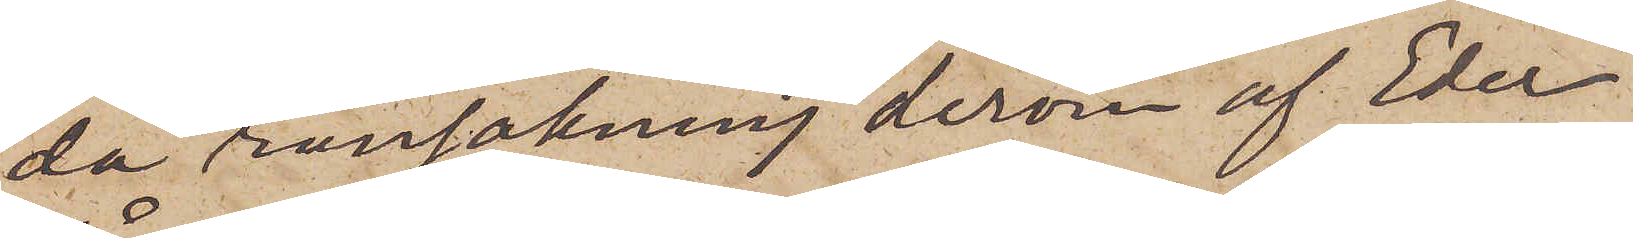da ransakning derom af Eder
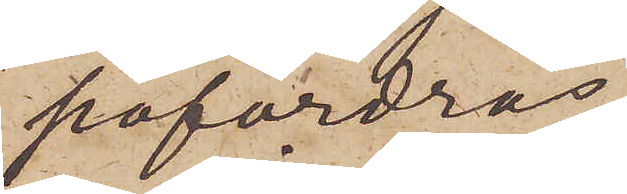påfordras.
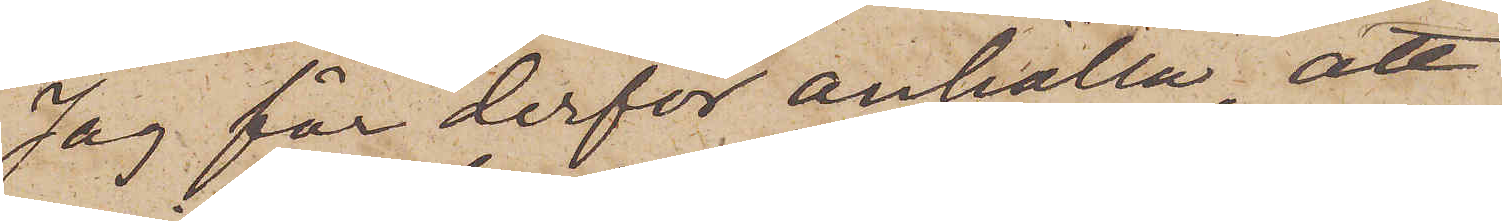Jag får derför anhålla, att
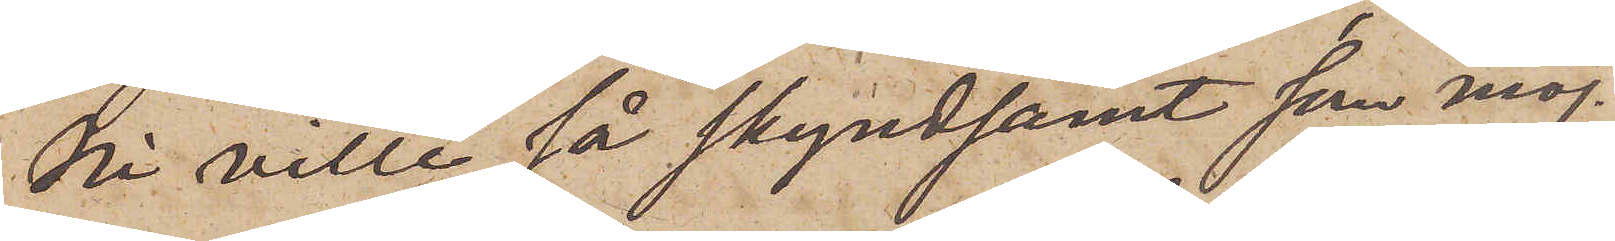Ni ville så skyndsamt som möj¬
